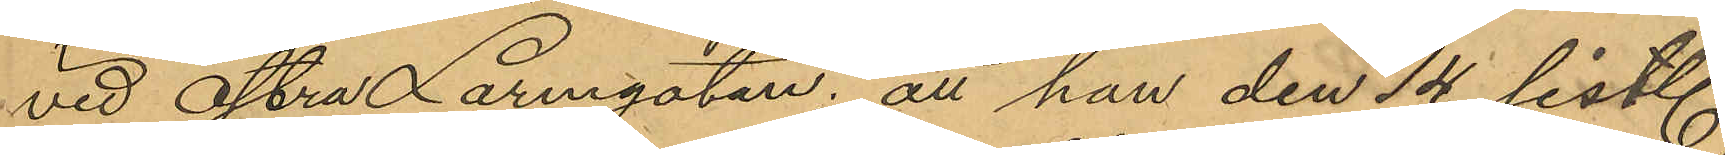vid Östra Larmgatan; att han den 14 sist.
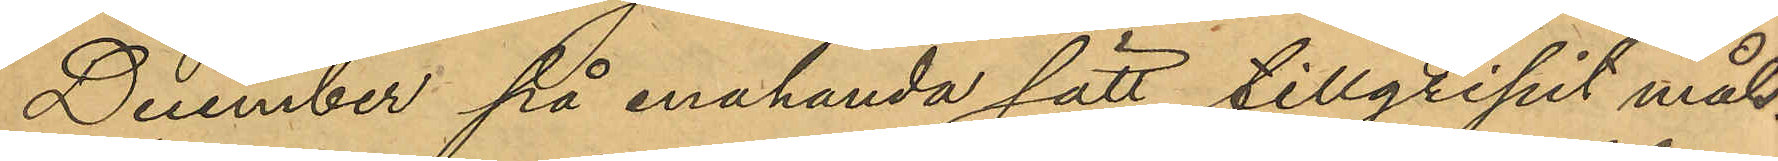December på enahanda sätt tillgripit mål¬
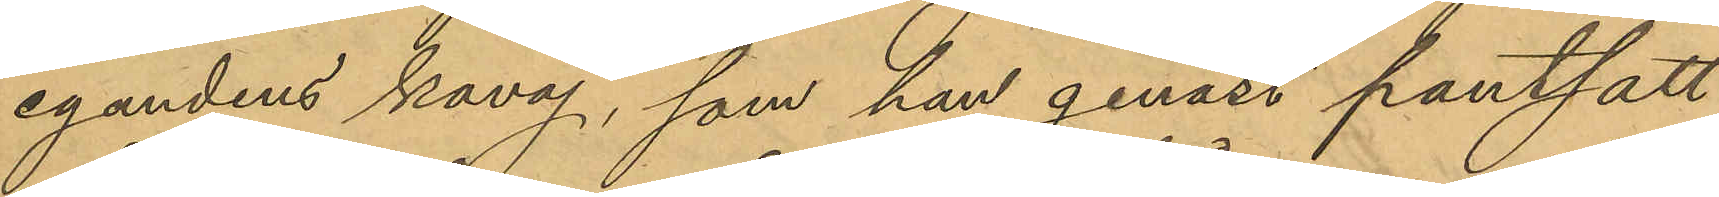egandens kavaj, som han genast pantsatt
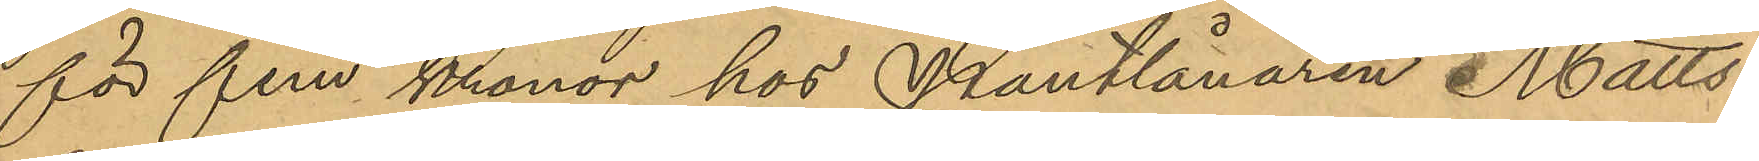för fem kronor hos Pantlånaren Matts¬
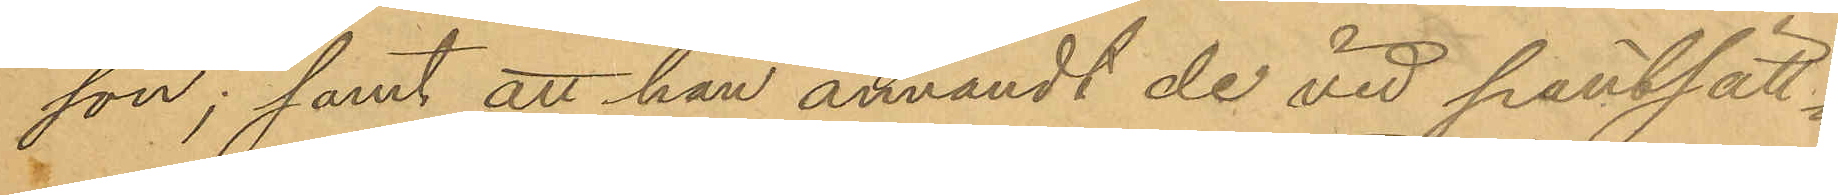son; samt att han användt de vid pantsätt¬
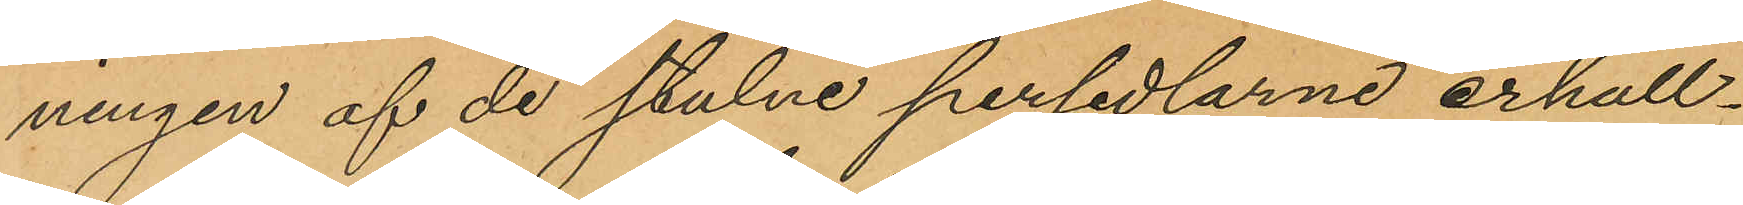ningen af de stulne persedlarne erhåll¬
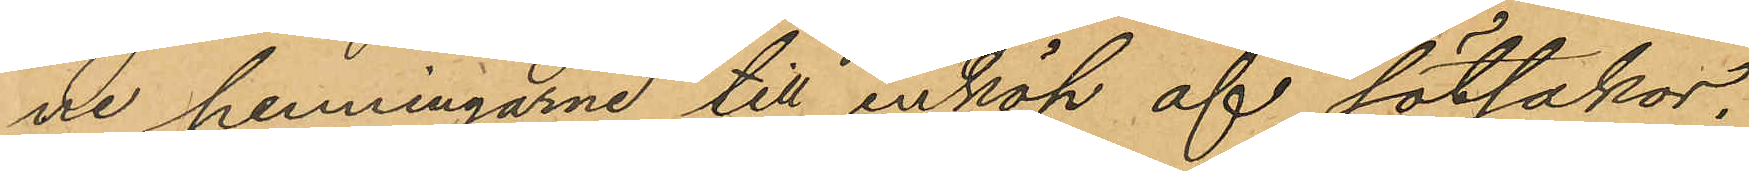ne penningarne till inköp af sötsaker.
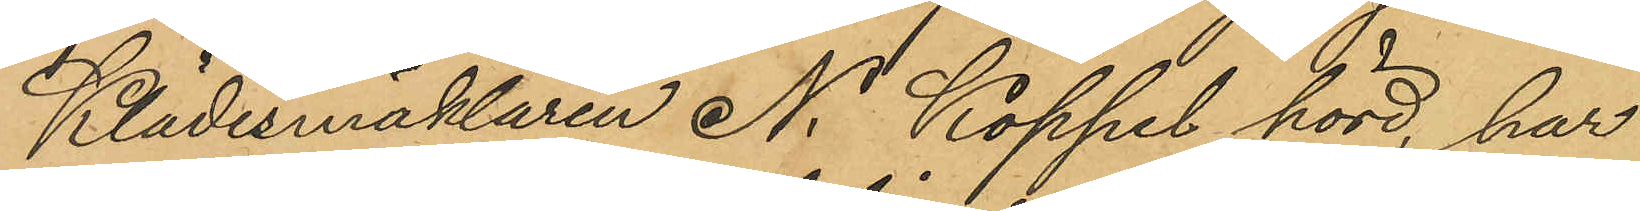Klädesmäklaren N. Köppel, hörd, har
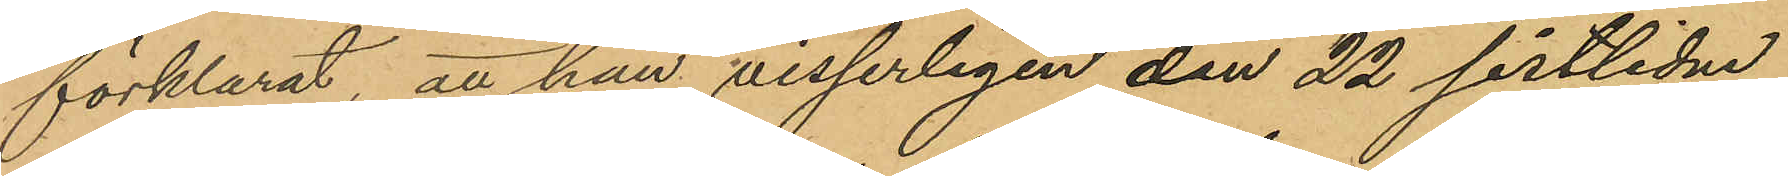förklarat, att han visserligen den 22 sistlidne
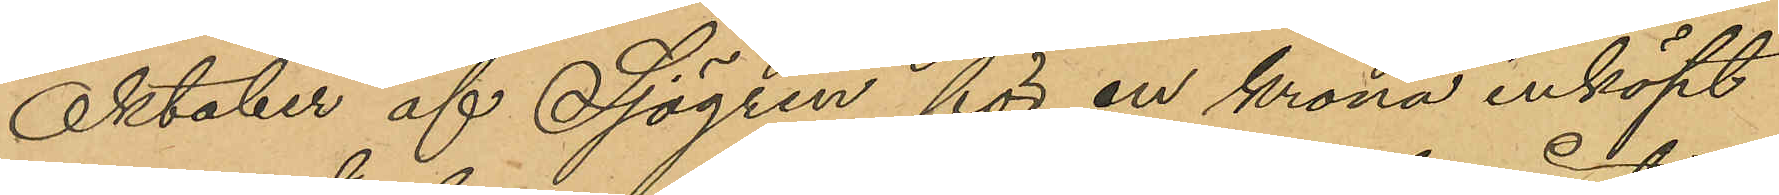Oktober af Sjögren för en krona inköpt
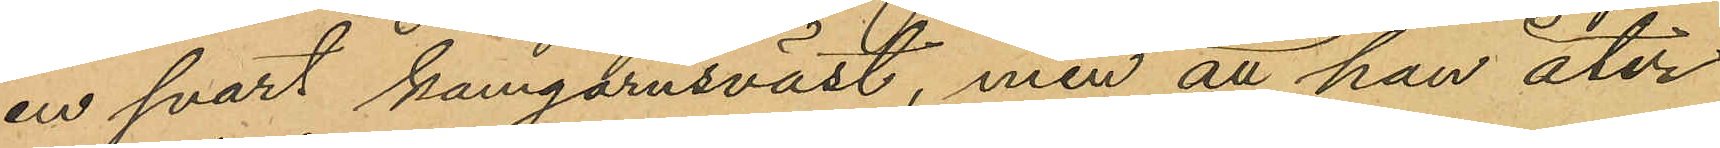en svart kamgarnsväst, men att han åter¬
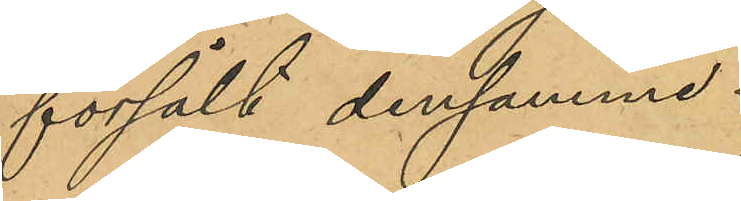försålt densamme.
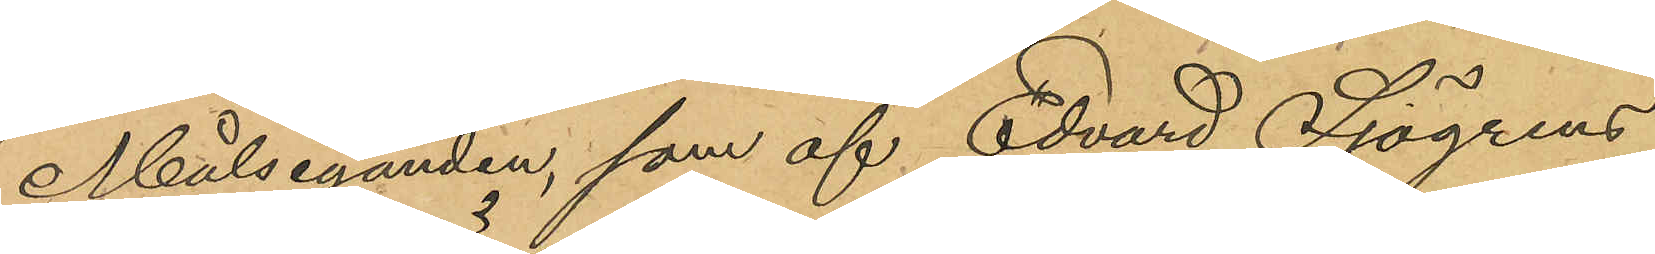Målseganden, som af Edvard Sjögrens
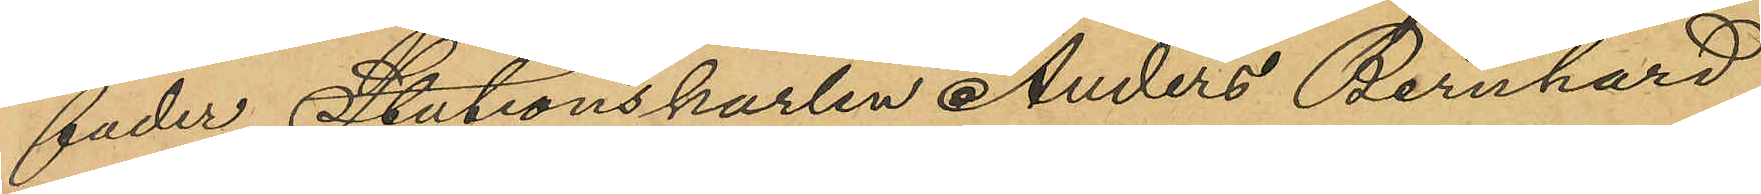fader Stationskarlen Anders Bernhard
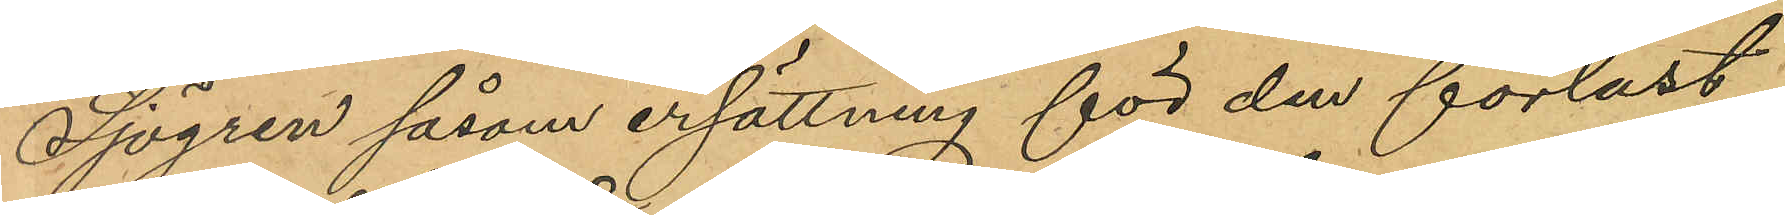Sjögren såsom ersättning för den förlust
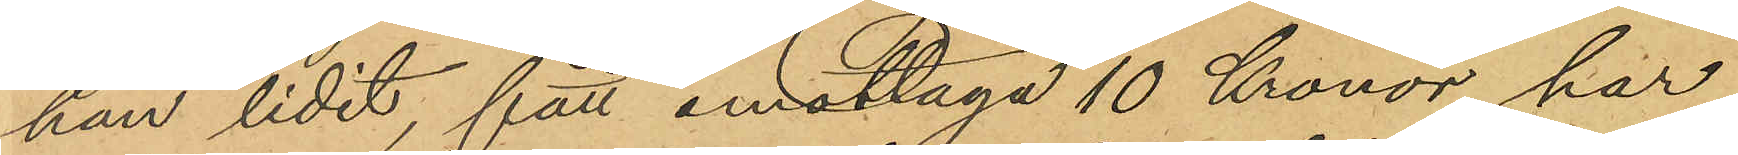han lidit, fått emottaga 10 Kronor har
